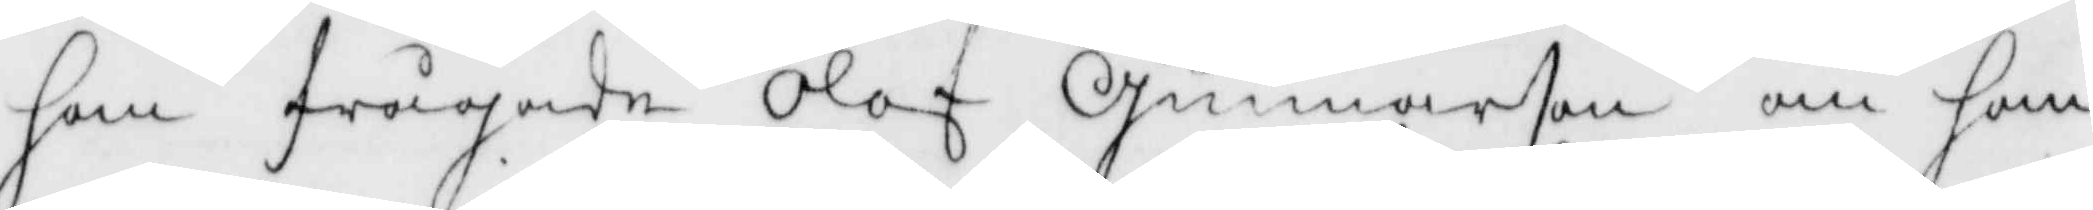han frågade Olof Gunnarsen om han
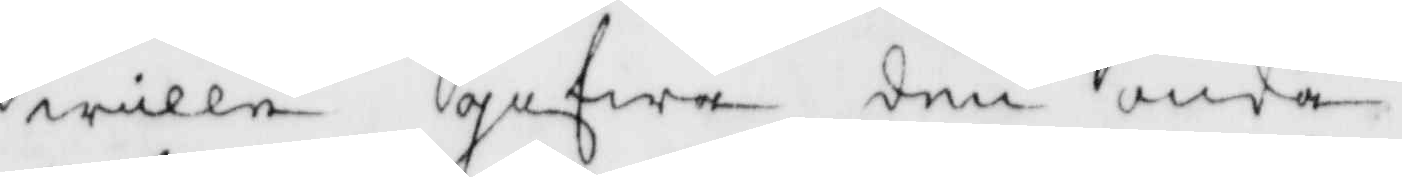wille gifwa den onda 
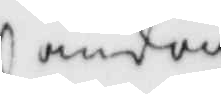andan
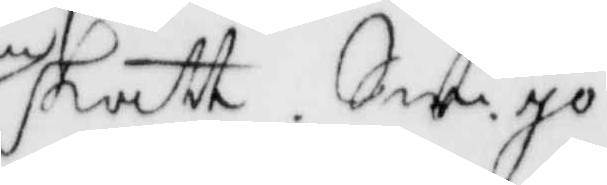skatt. Sw. jo
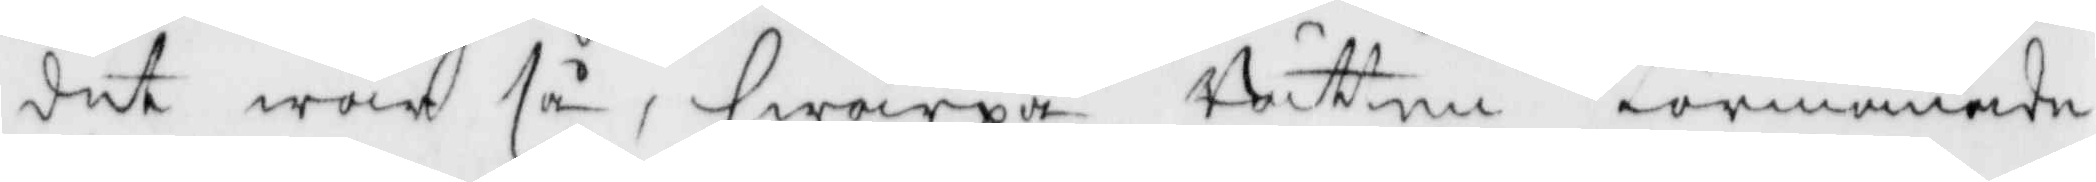det war så, hwarpå Rätten förmanade
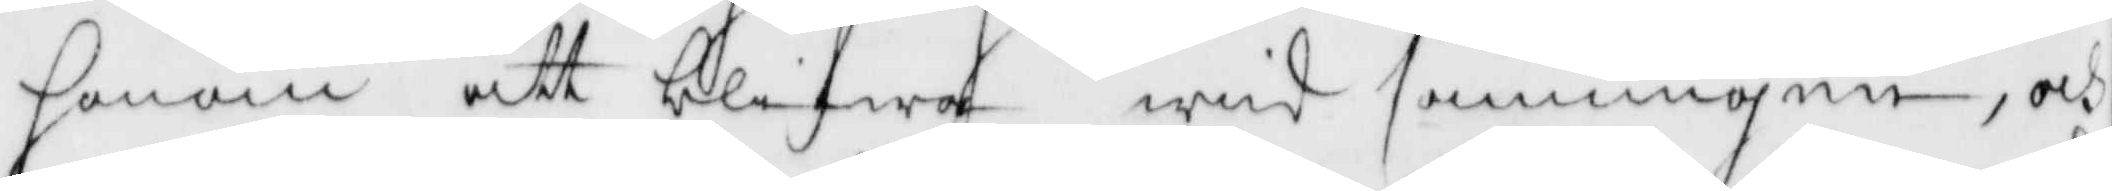honom att blifwa wid sanningen, och
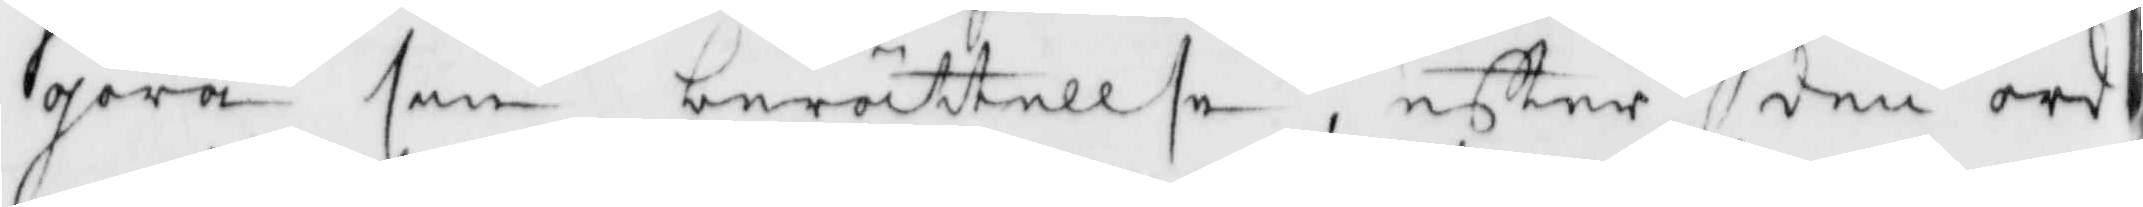göra sin berättellse, eftter den ord¬
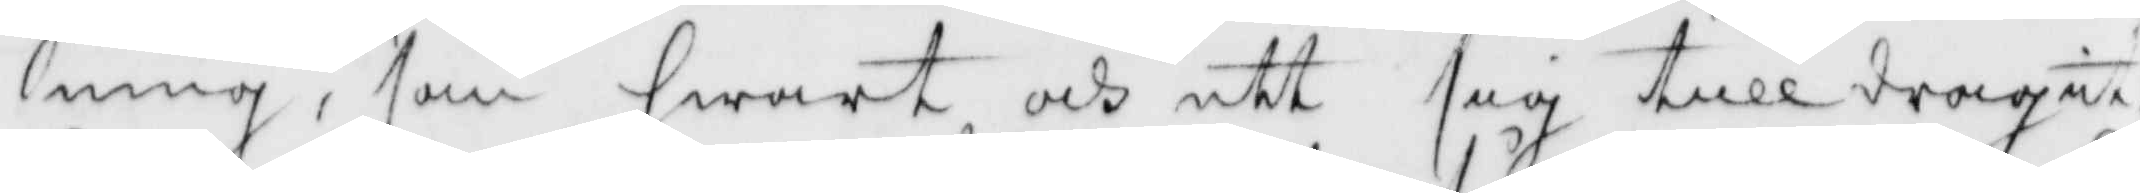ning, som hwart och ett sig tilldragit
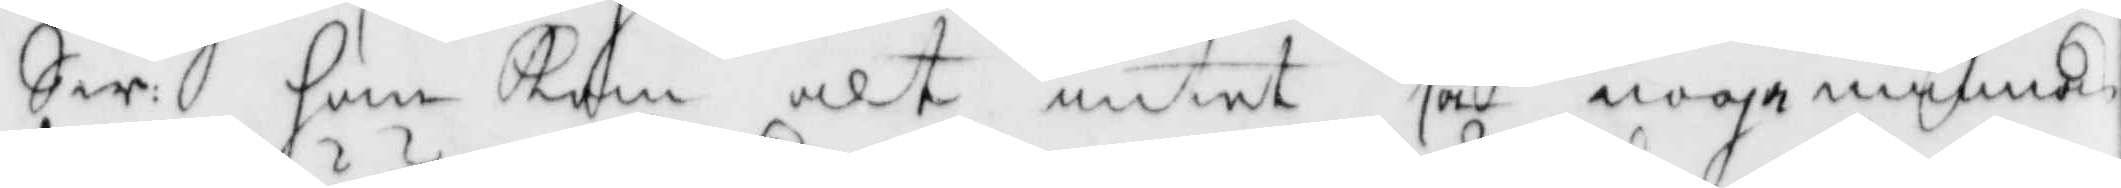Sw: han Kan alt intet så noga minnas
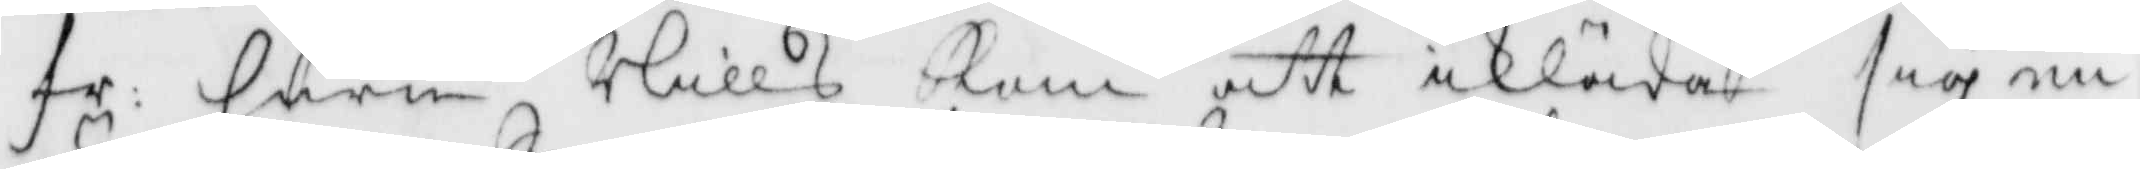fr Huru Nills kom att ikläda sig en 
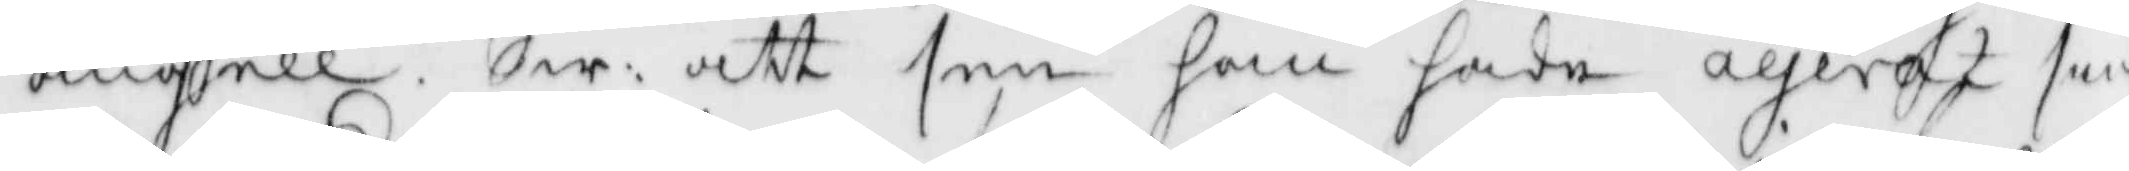ängell, Sw: att sen han hade agerat sin
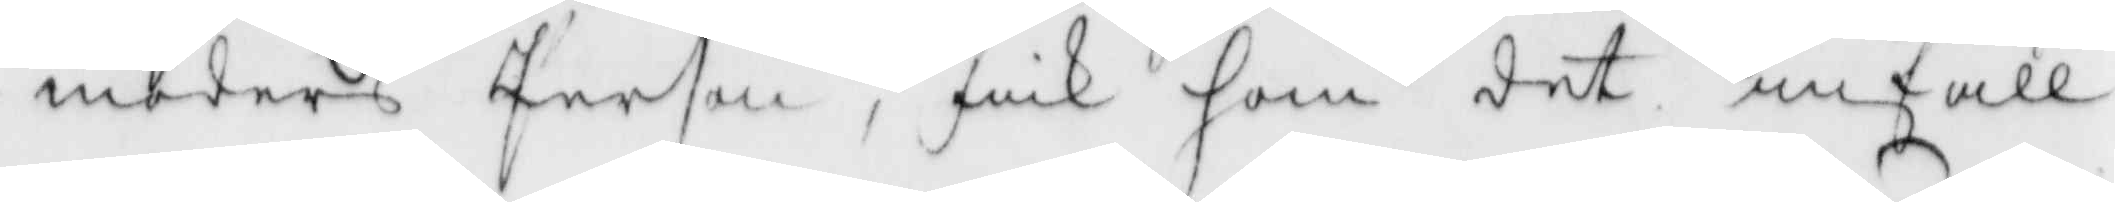moders Person, fick han det infall
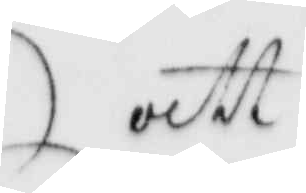att
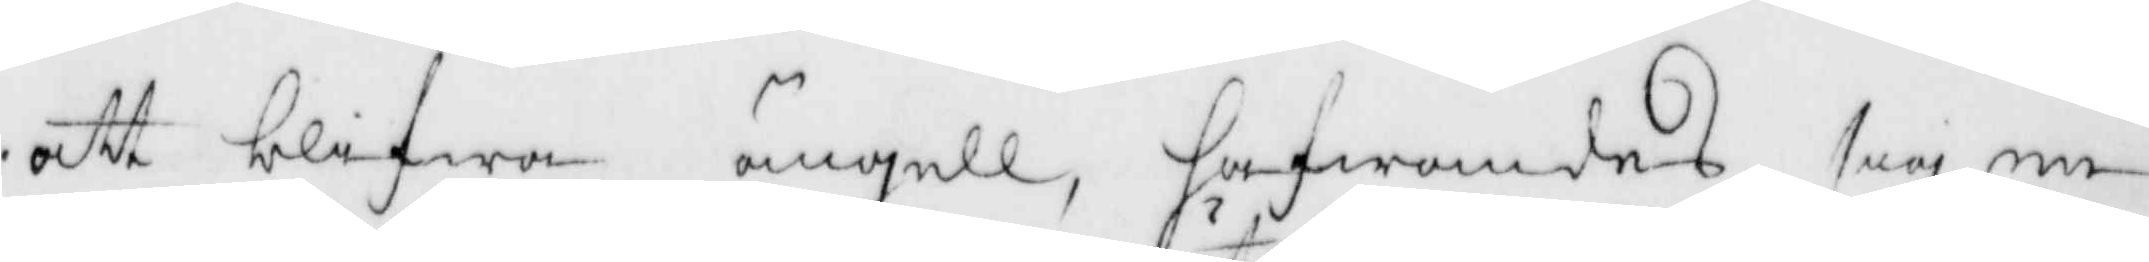att blifwa ängell, hafwandes sig en
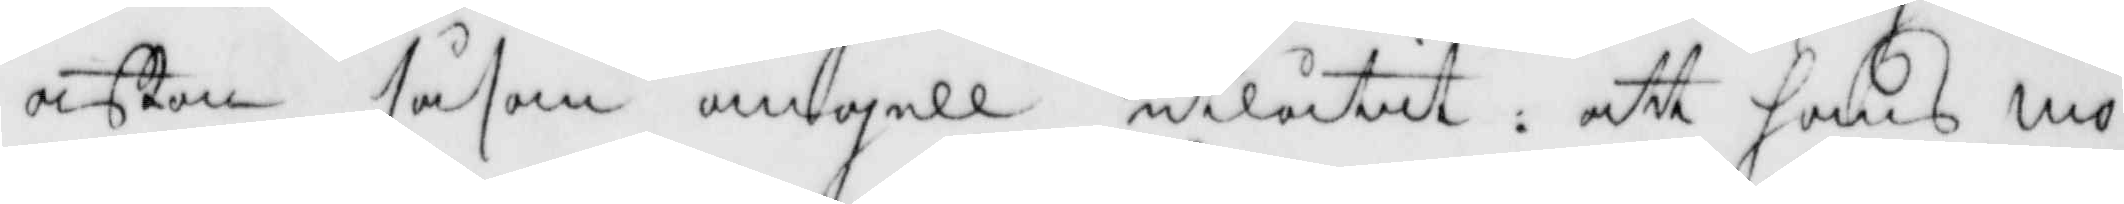afton såsom ängell utlåtit: att hans mo¬
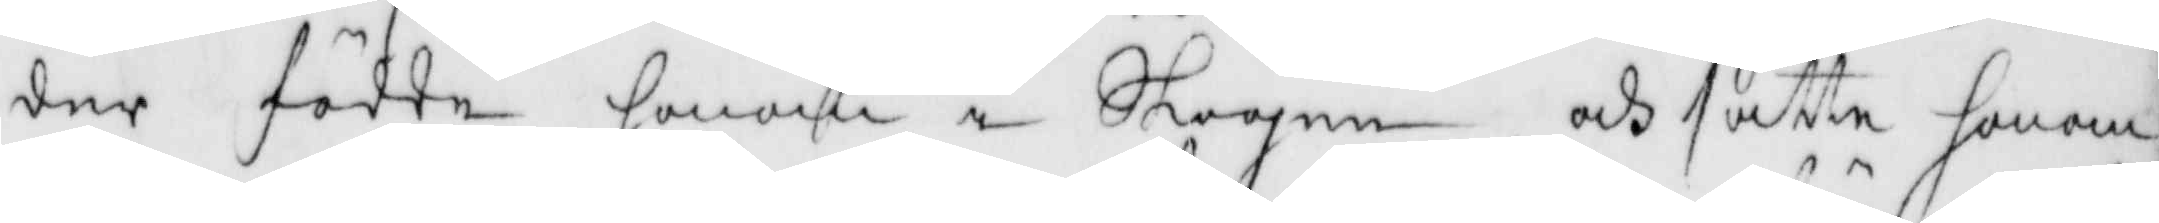der födde honom i Skogen och satte honom
